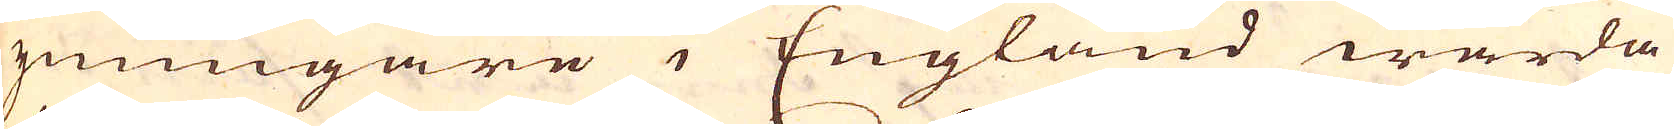ymingare i England warda
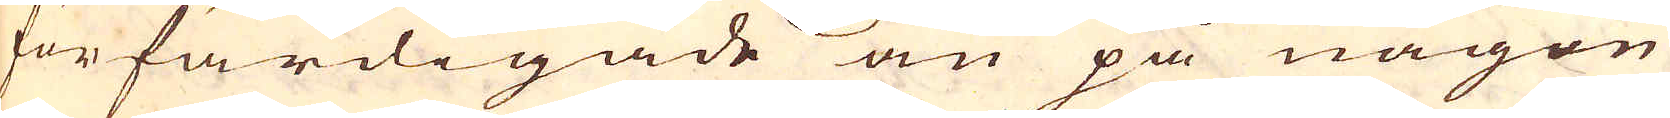förfärdigade än på någon
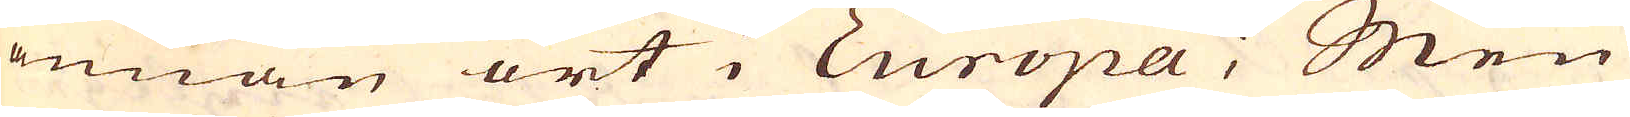annan ort i Europa; Men
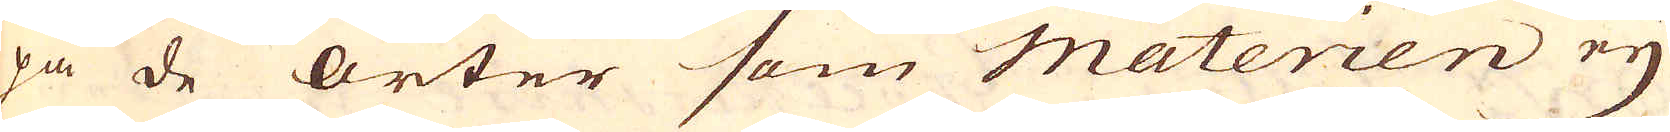på de orter som materien eij
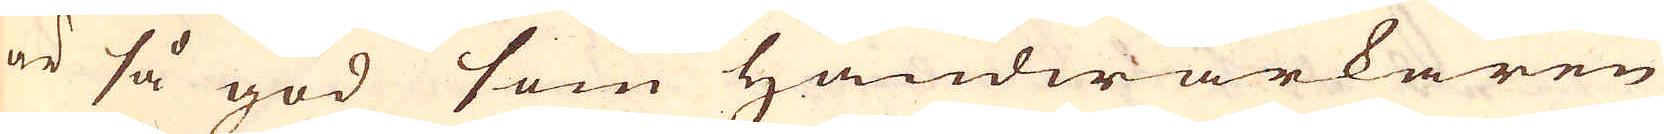är så god som Handwärkaren
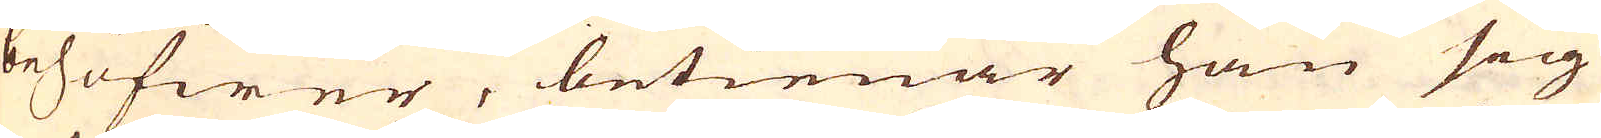behöfwer, betienar han sig
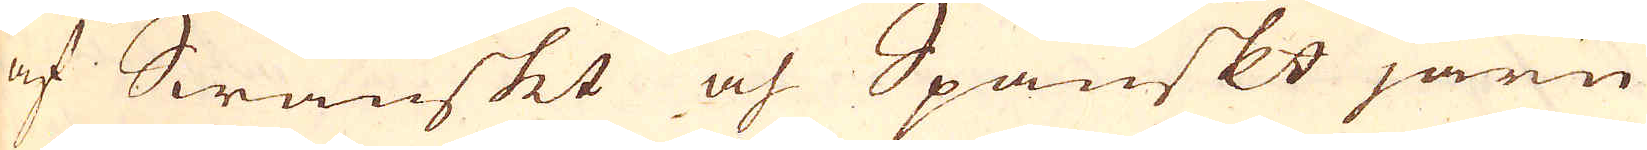af Swänskt och Spanskt järn
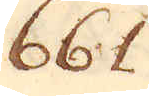661
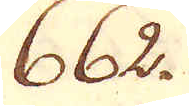662.
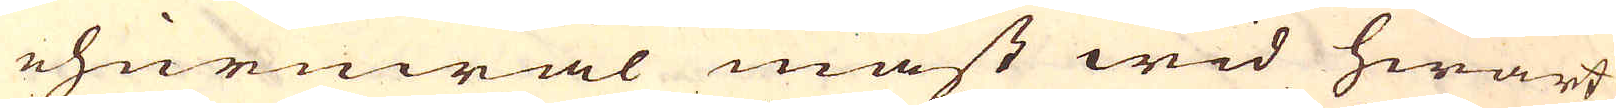ehuruwäl mäst wid hwart
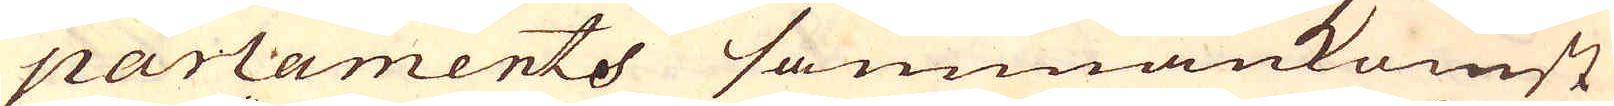parlaments sammankomst
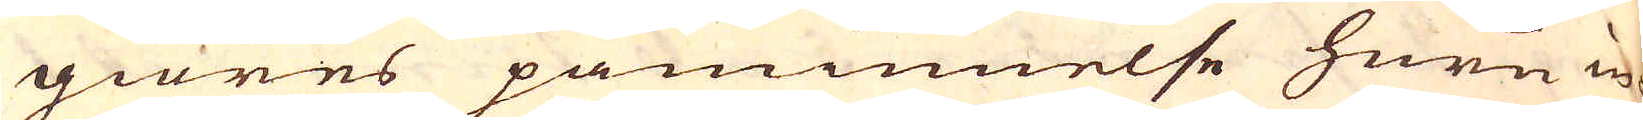giöres påminnelse huru in-
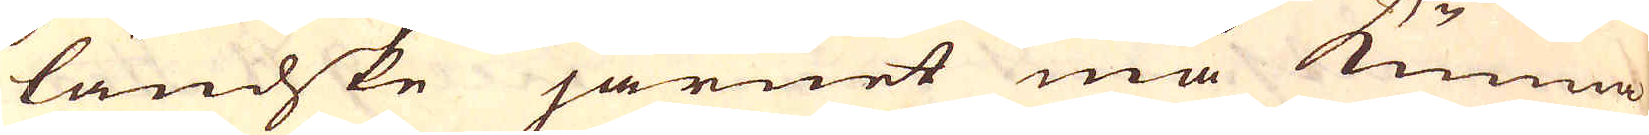ländske järnet må kunna
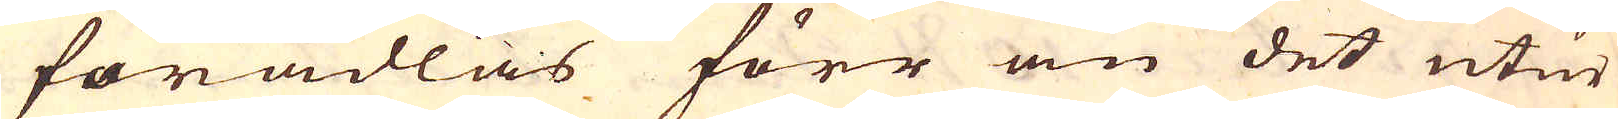förädlas förr än det utur
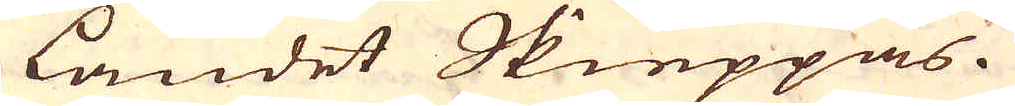landet Skieppas.
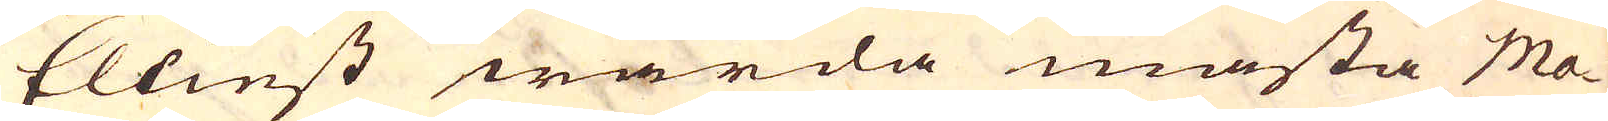Elliest warda mästa Ma-
